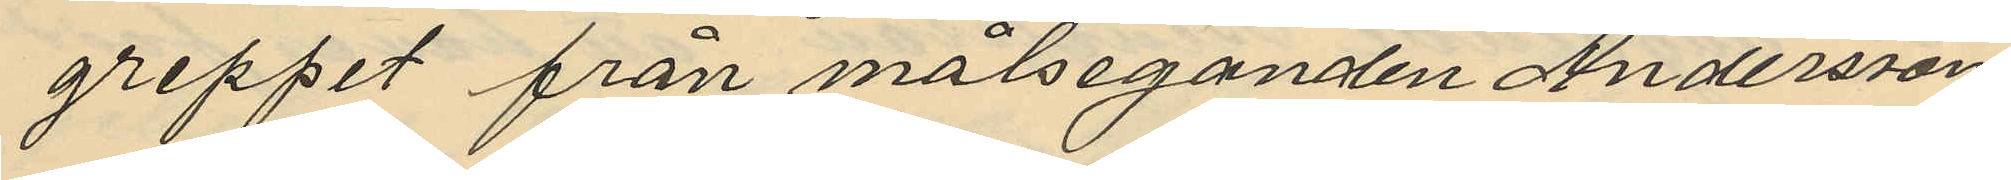greppet från målseganden Andersson
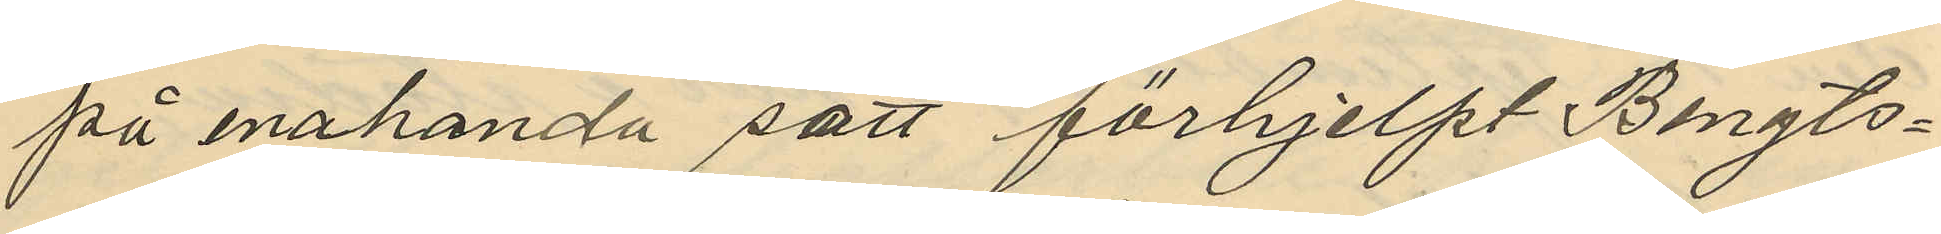på enahanda sätt förhjelpt Bengts¬
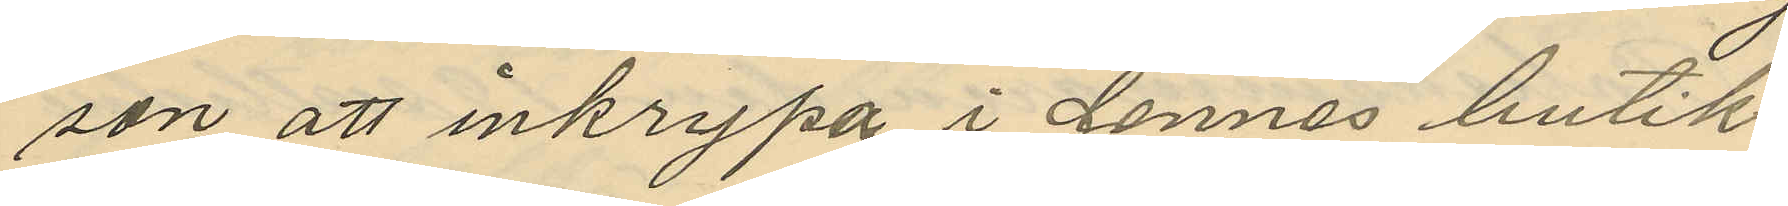son att inkrypa i dennes butik,
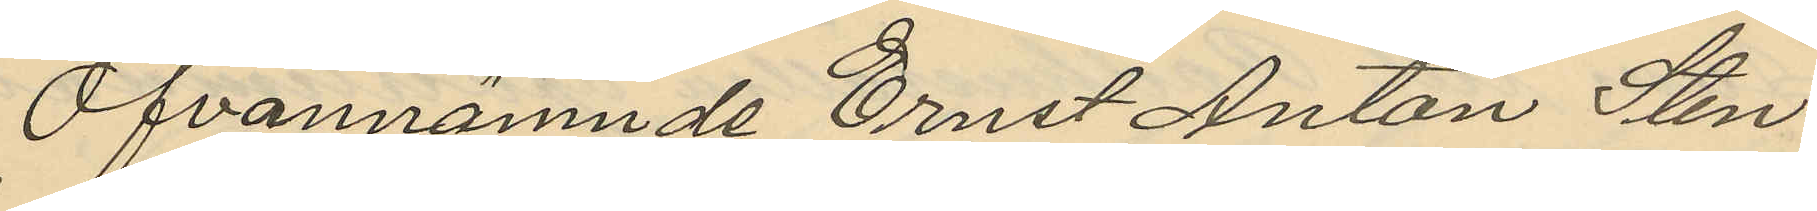Ofvannämnde Ernst Anton Sten
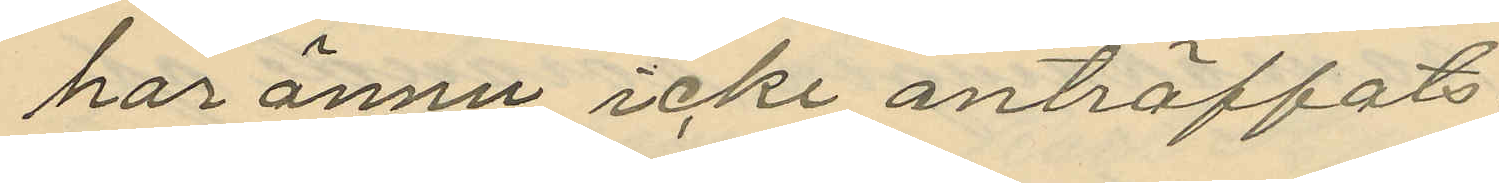har ännu icke anträffats.
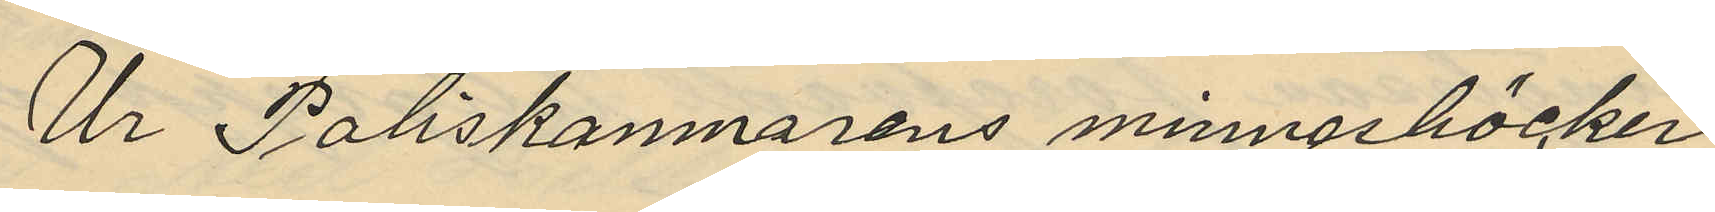Ur Poliskamnarens minnesböcker
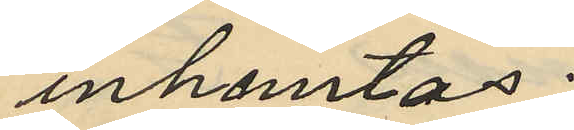inhemtas:
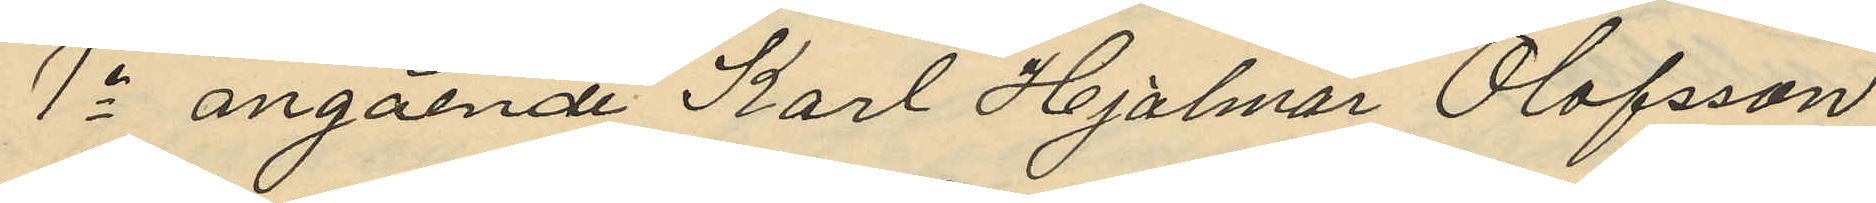1o angående Karl Hjalmar Olofsson
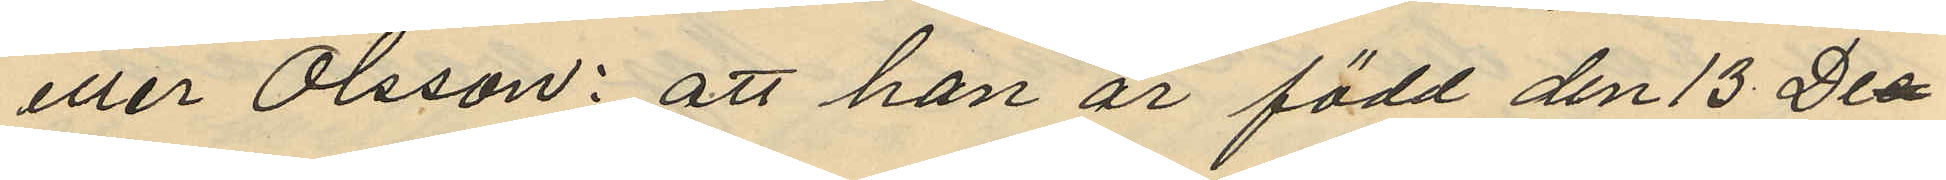eller Olsson: att han är född den 13 Dec¬
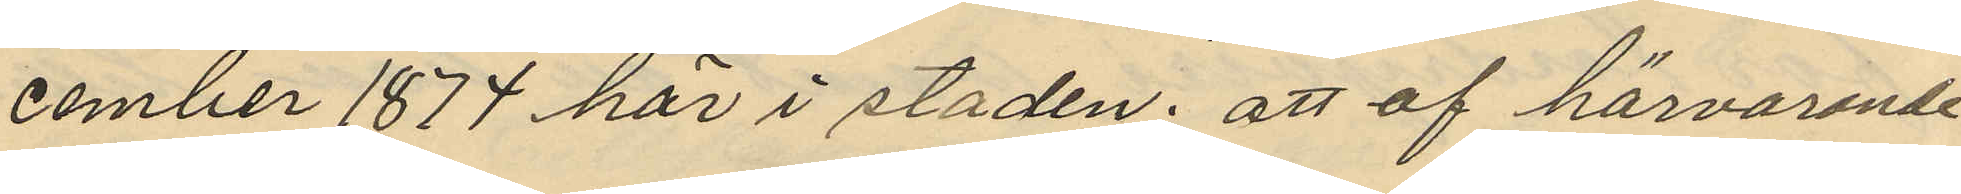cember 1877 här i staden; att af härvarande
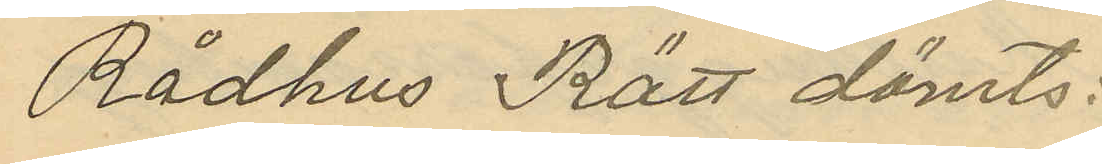Rådhus Rätt dömts:
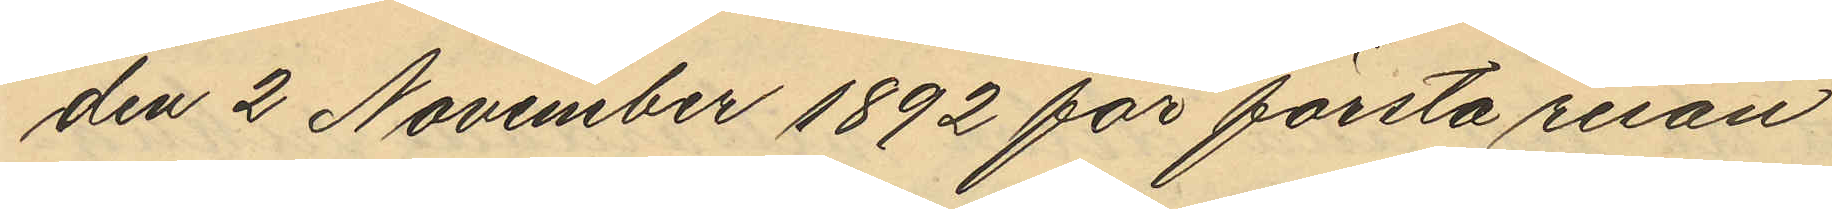den 2 November 1892 för första resan
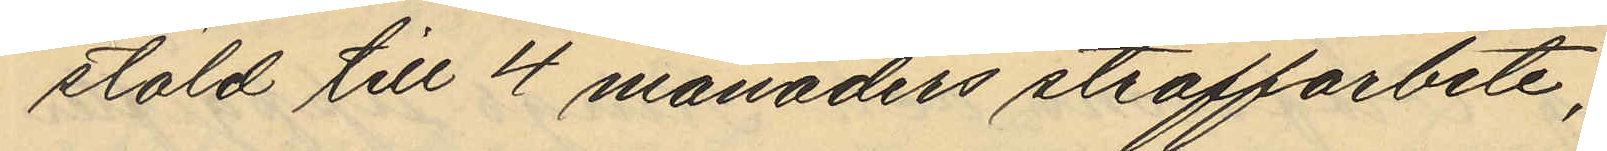stöld till 4 månaders straffarbete;
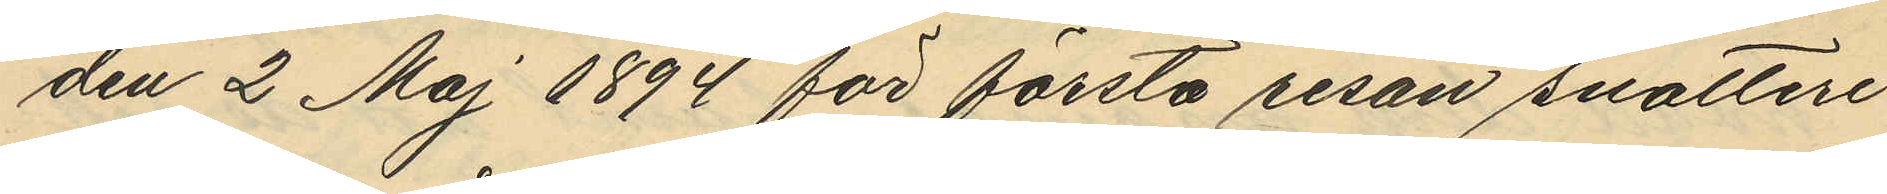den 2 Maj 1894 för första resan snatteri
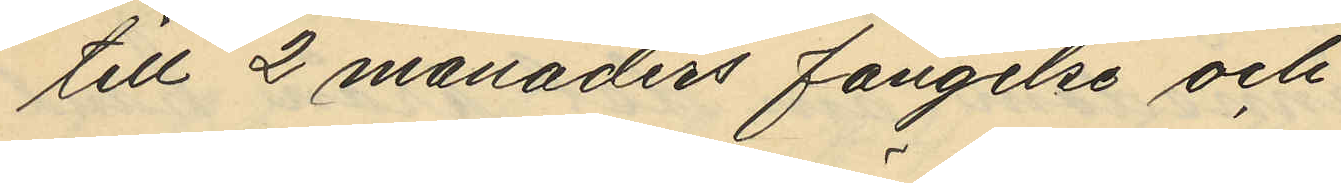till 2 månaders fängelse och
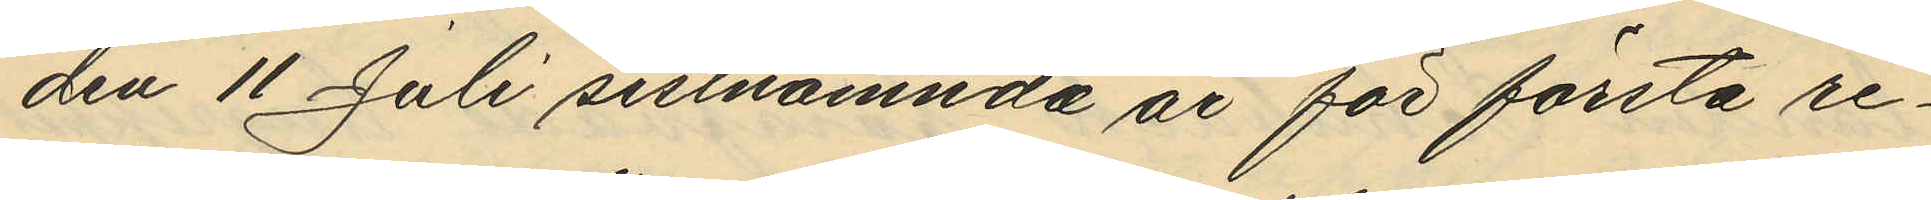den 11 Juli sistnämnda år för första re¬
